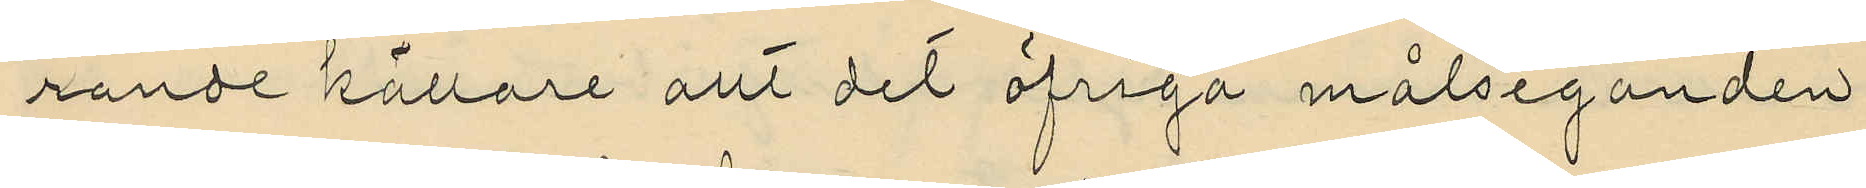rande källare allt det öfriga målseganden
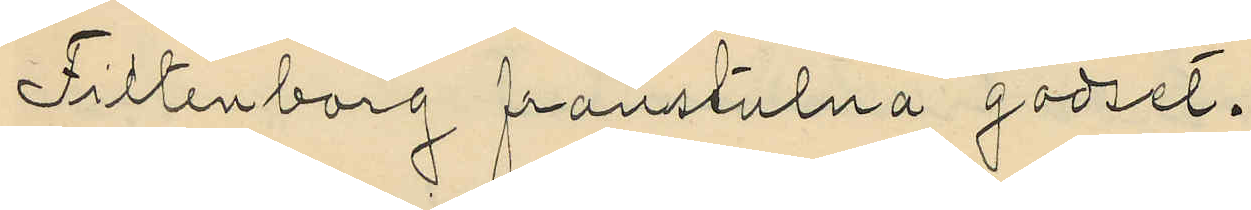Filtenborg frånstulna godset.
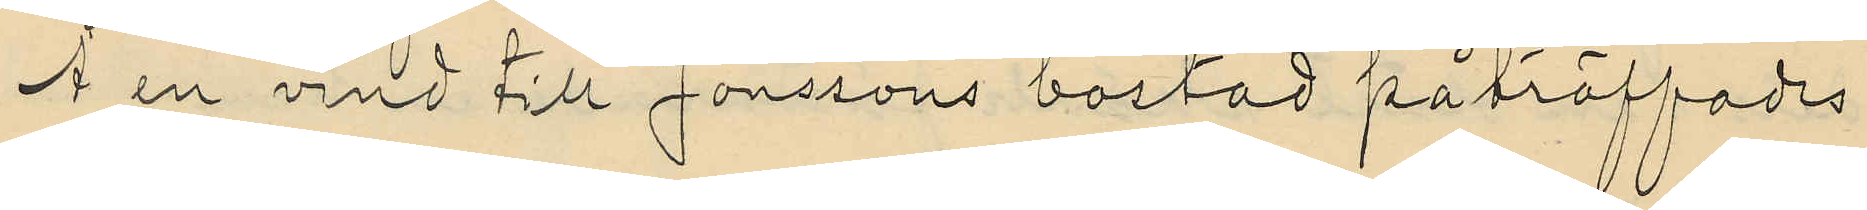Å en vind till Jonssons bostad påträffades
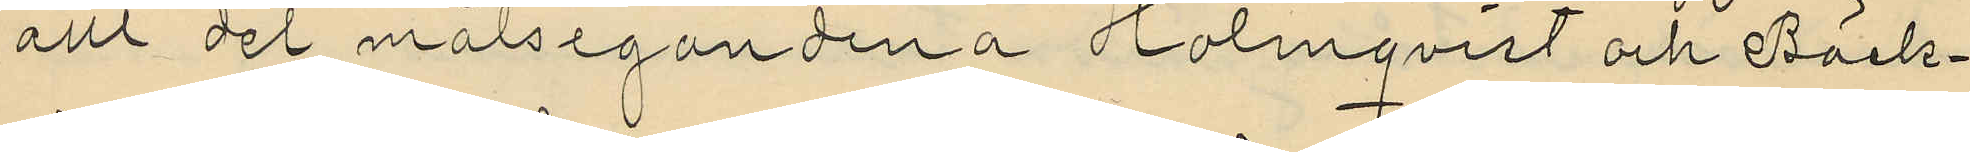allt det målsegandena Holmqvist och Bäck¬
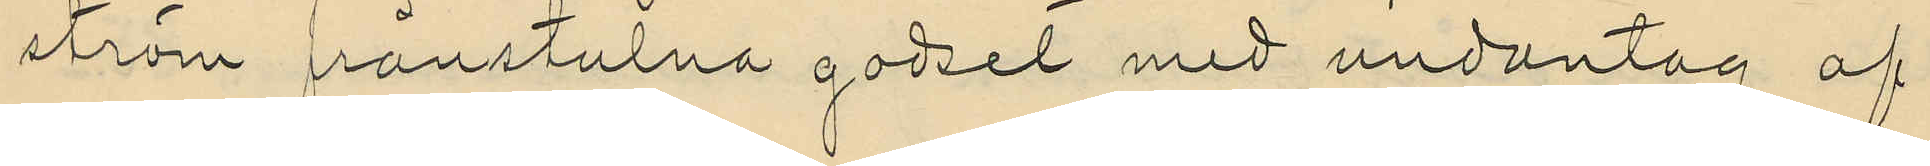ström frånstulna godset med undantag af
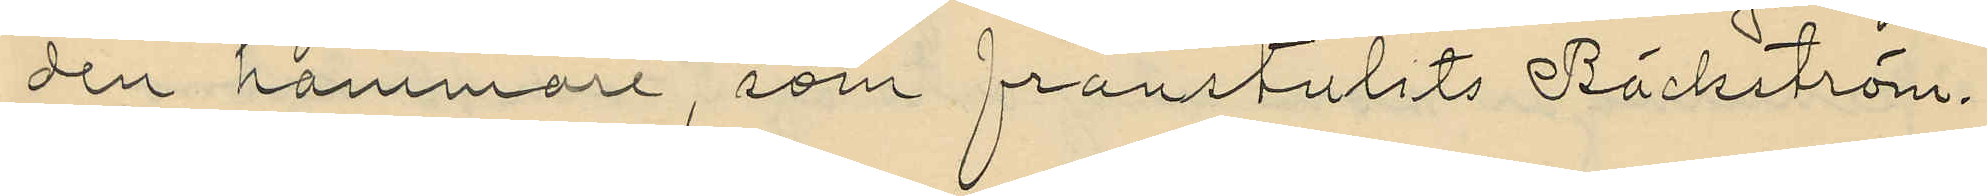den hammare, som frånstulits Bäckström.
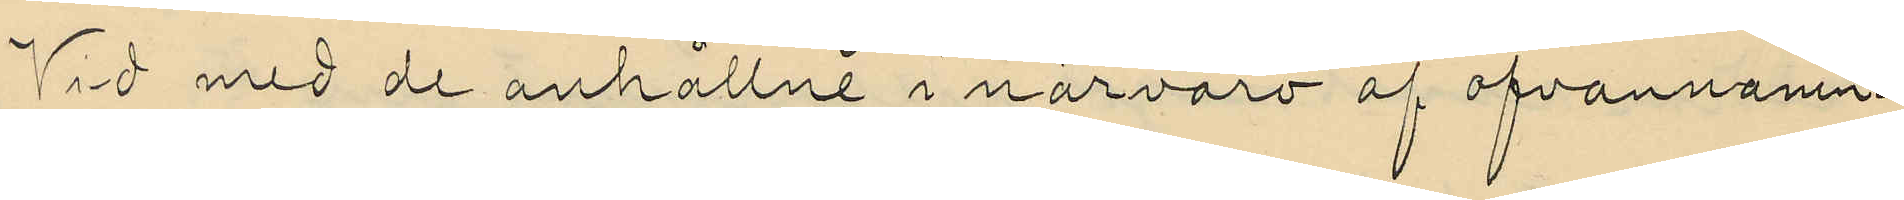Vid med de anhållne i närvaro af ofvannämn¬
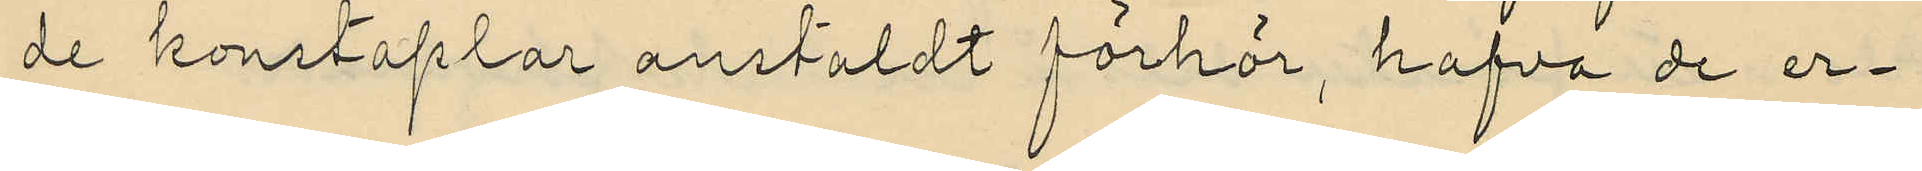de konstaplar anstäldt förhör, hafva de er¬
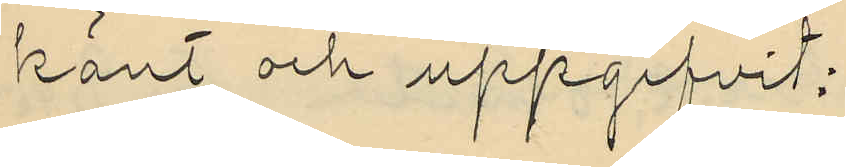känt och uppgifvit:
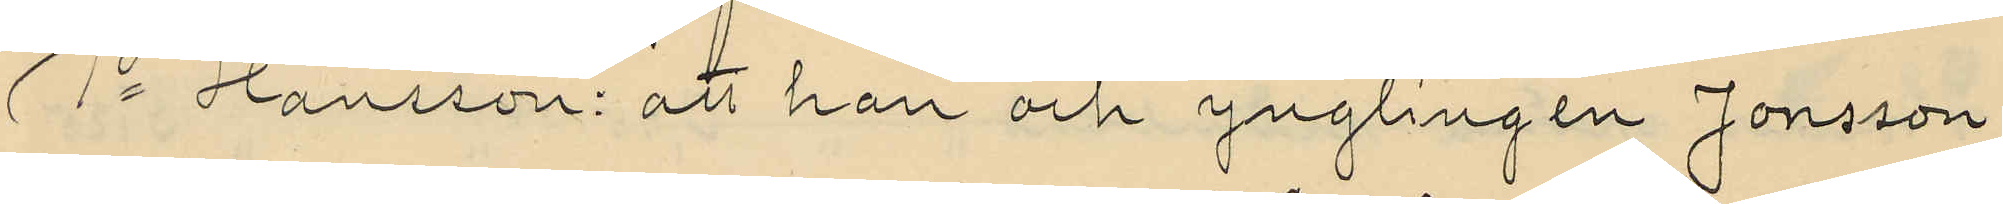1o Hansson: att han och ynglingen Jonsson
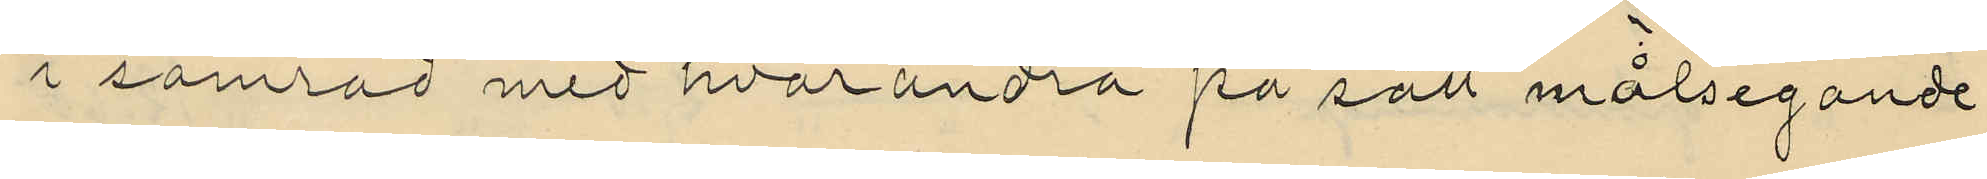i samråd med hvarandra på sätt målsegande¬
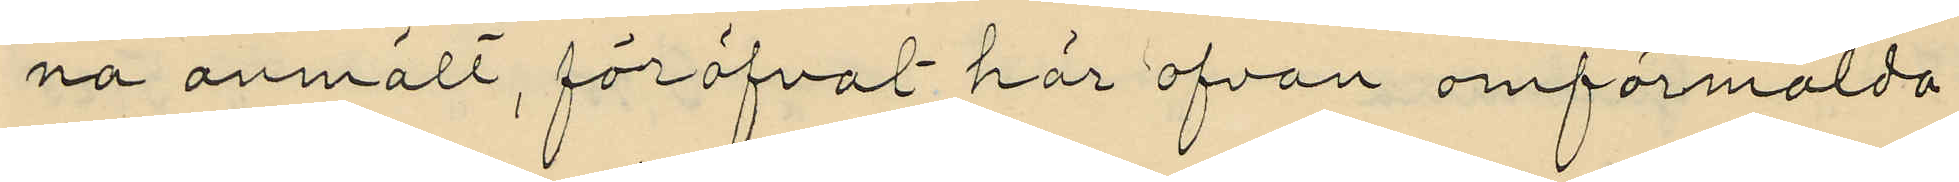na anmält, föröfvat här ofvan omförmälda
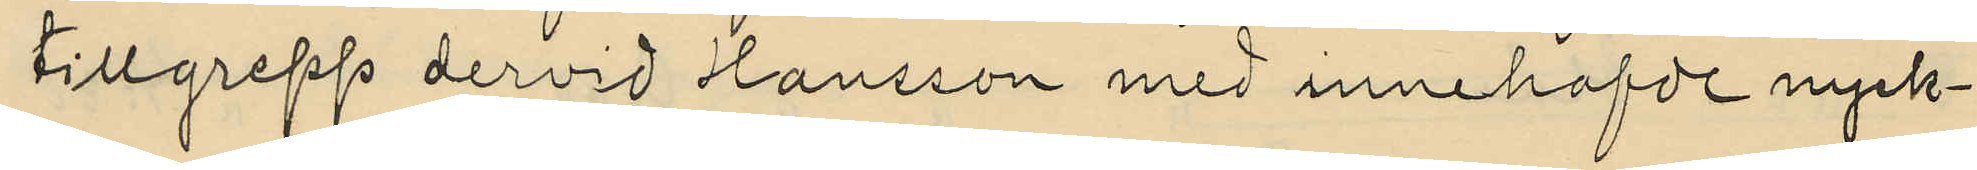tillgrepp dervid Hansson med innehafde nyck¬
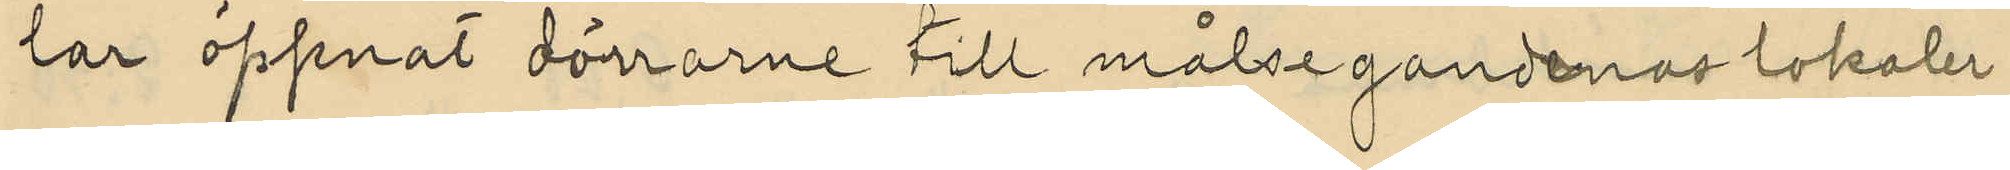lar öppnat dörrarne till målsegandenas lokaler
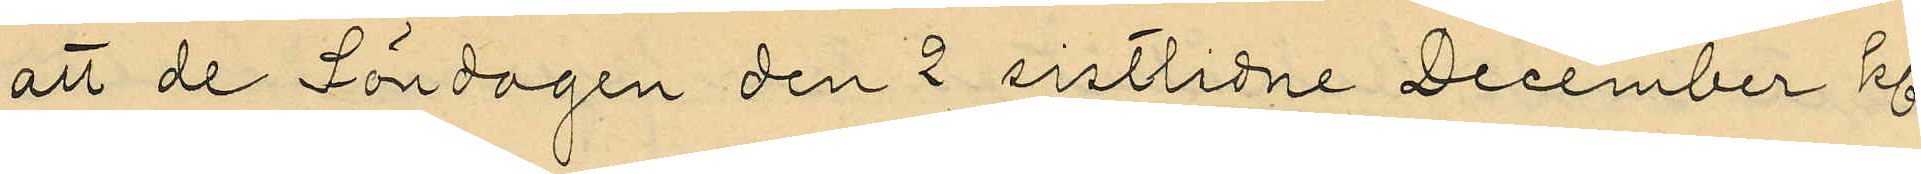att de Söndagen den 2 sistlidne December kl
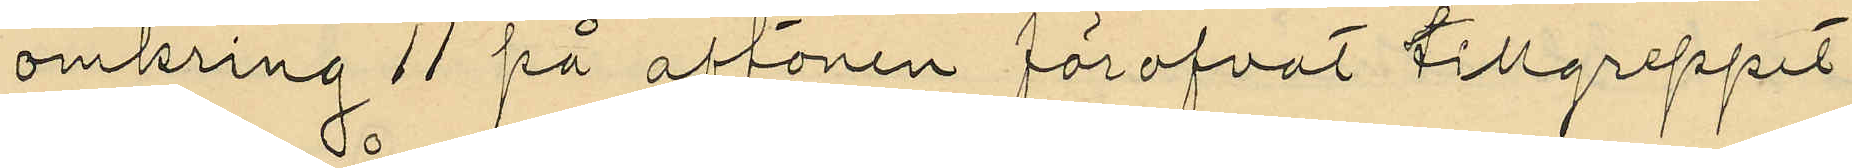omkring 11 på aftonen föröfvat tillgreppet
